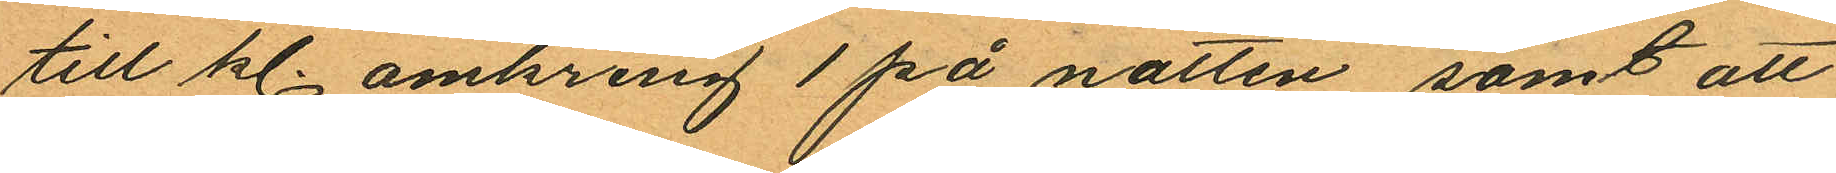till kl. omkring 1 på natten, samt att
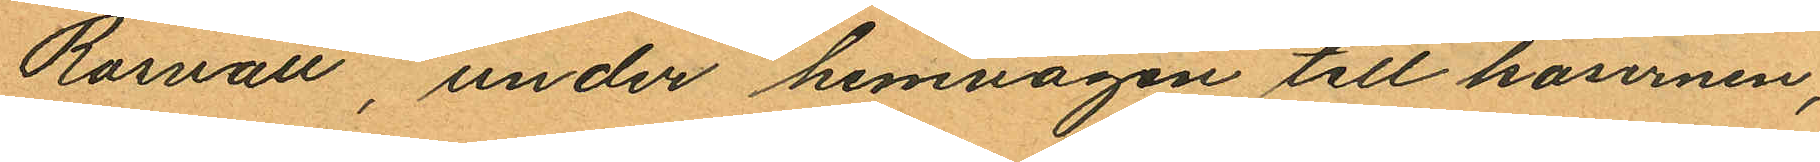Rosvall, under hemvägen till kasernen,
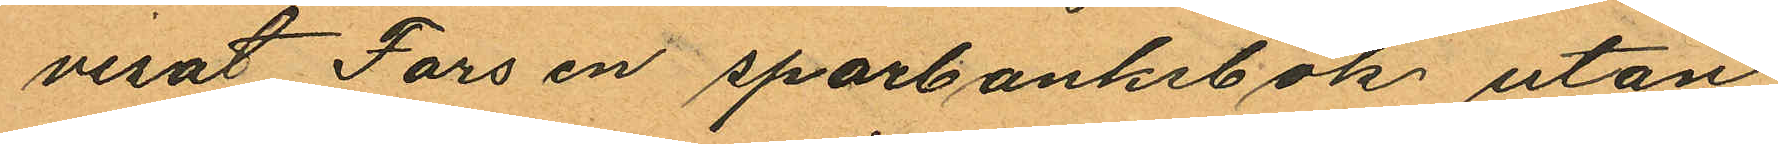visat Fors en sparbanksbok utan
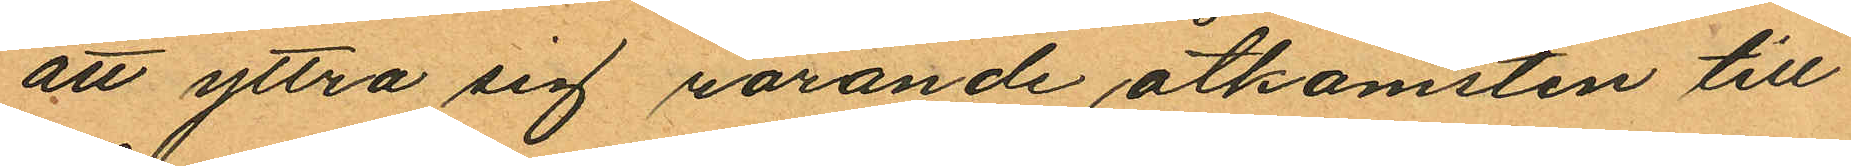att yttra sig rörande åtkomsten till
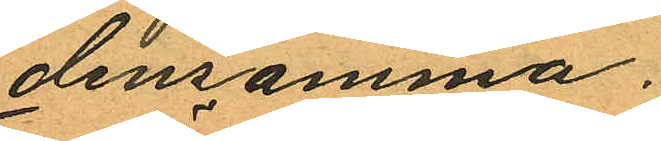densamma.
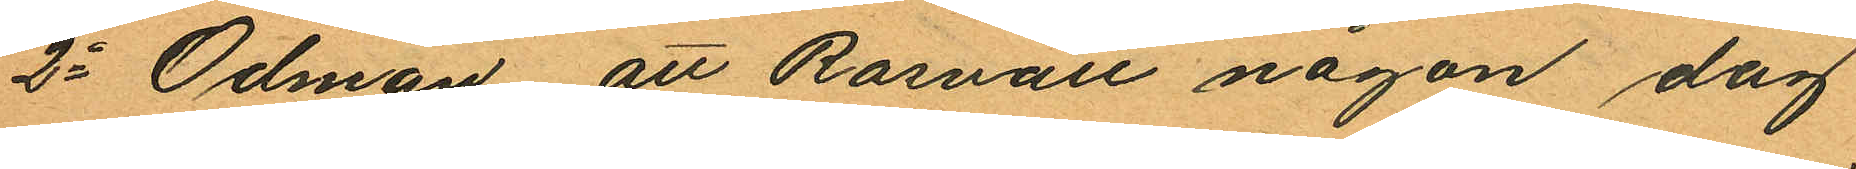2o Ödman att Rosvall någon dag
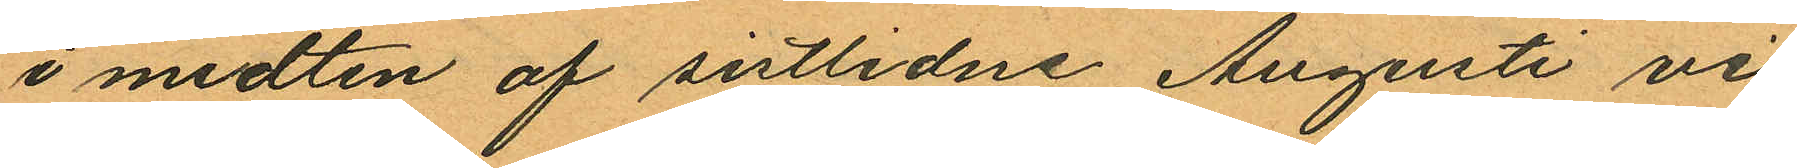i midten af sistlidne Augusti vi¬
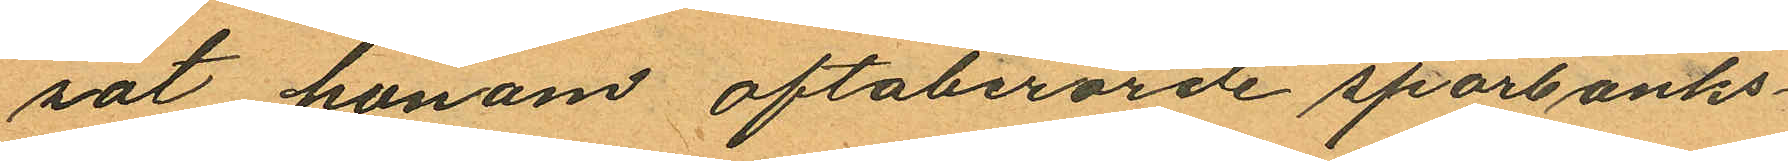sat honom oftaberörde sparbanks¬
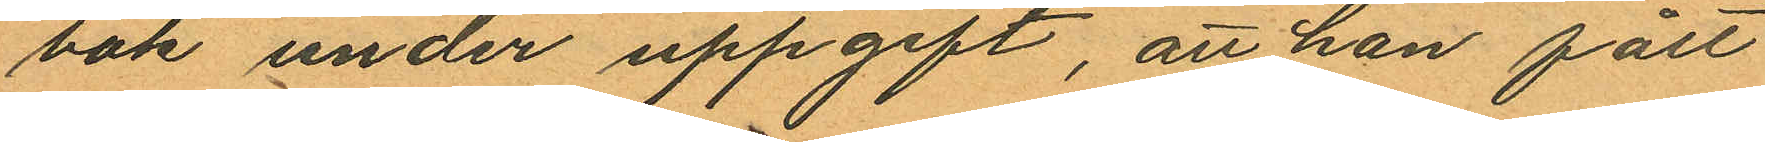bok under uppgift, att han fått
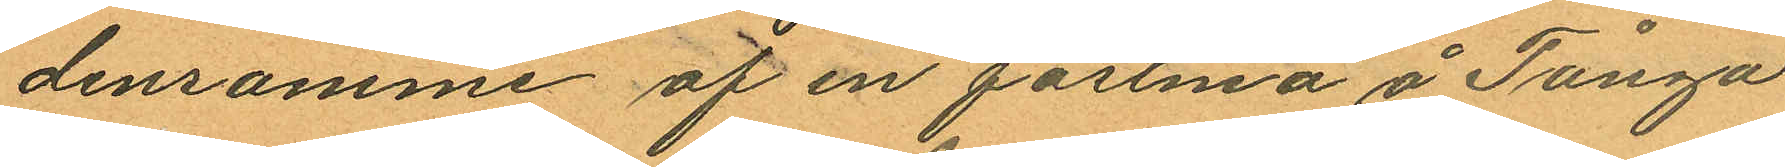densamme af en fästmö å Tånga
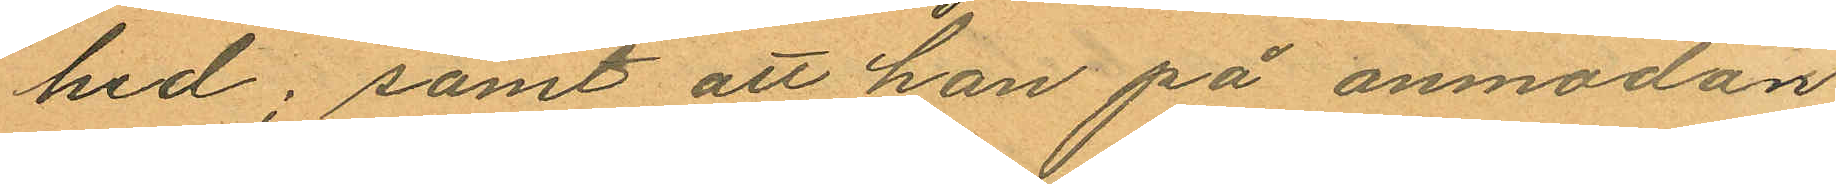hed; samt att han på anmodan
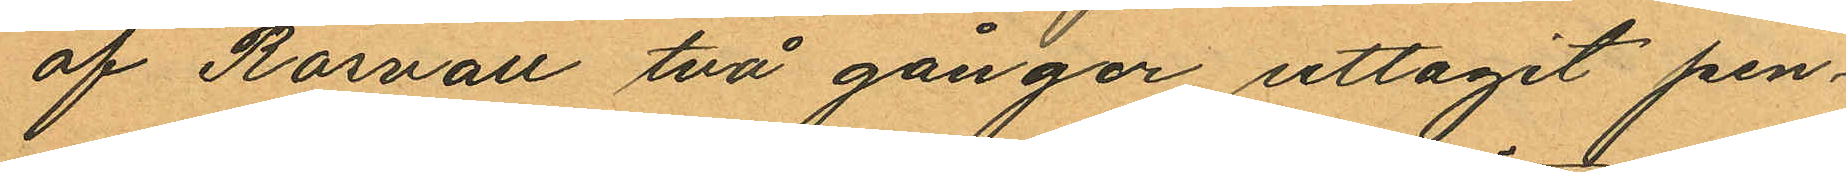af Rosvall två gånger uttagit pen¬
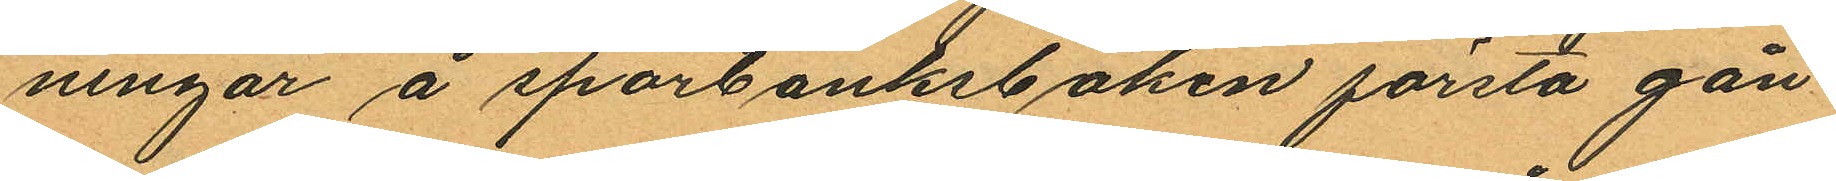ningar å sporbanksboken första gån¬
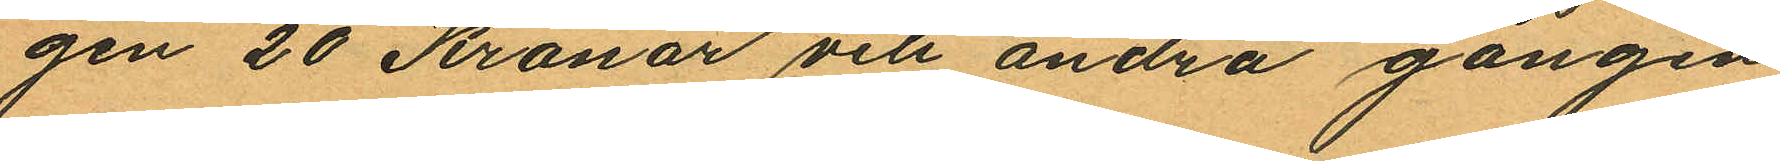gen 20 Kronor och andra gången
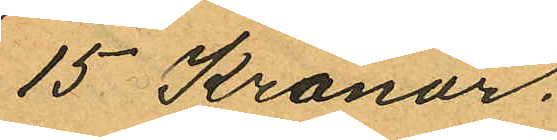15 Kronor.
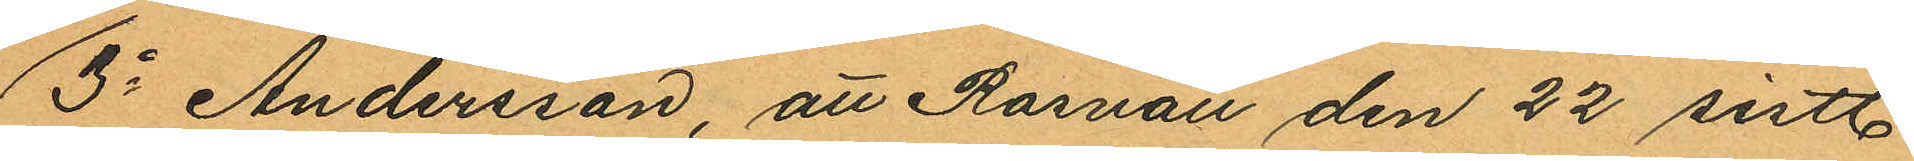3o Andersson, att Rosvall den 22 sistl.
